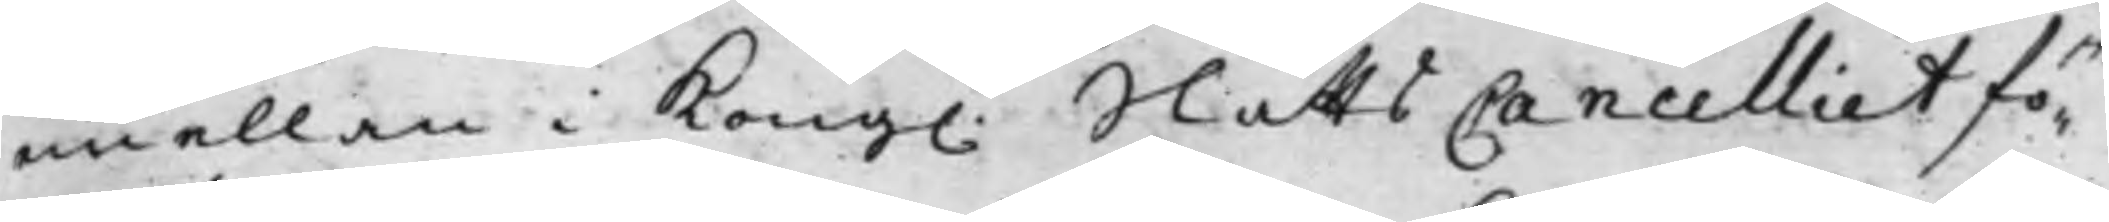emellan i Kong. SlåttsCancelliet fö¬
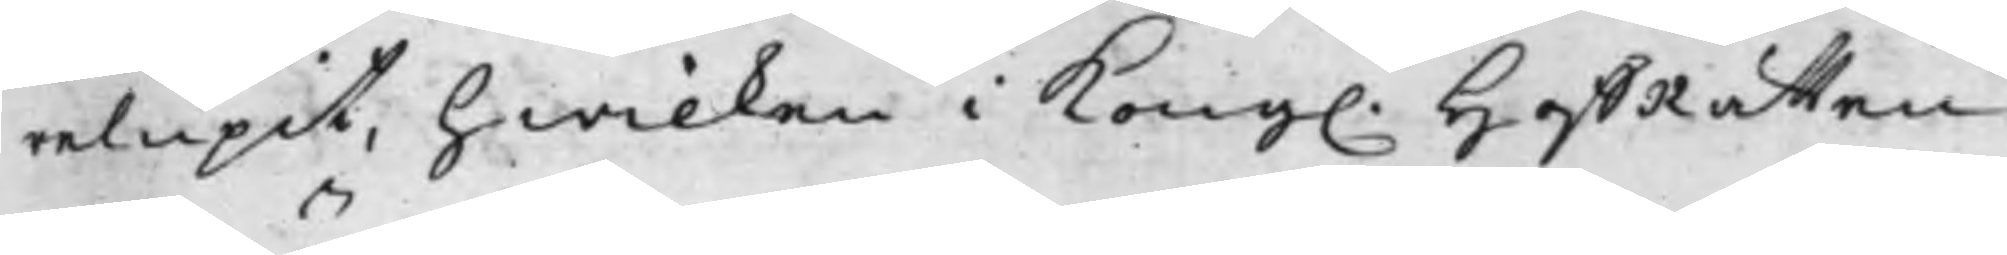relupit, hwilken i Kong. HoffRätten
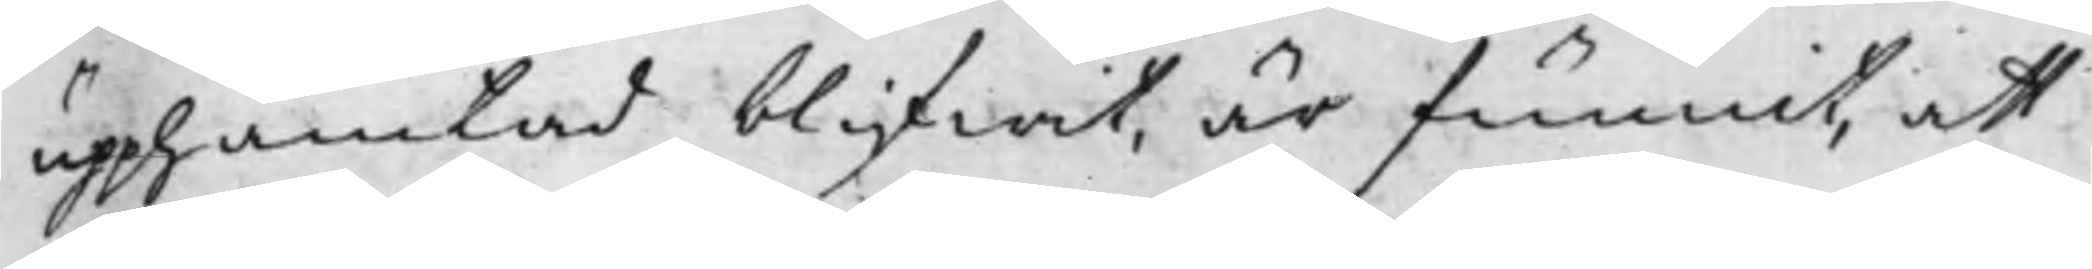uphämtad blifwit, är funnit, att
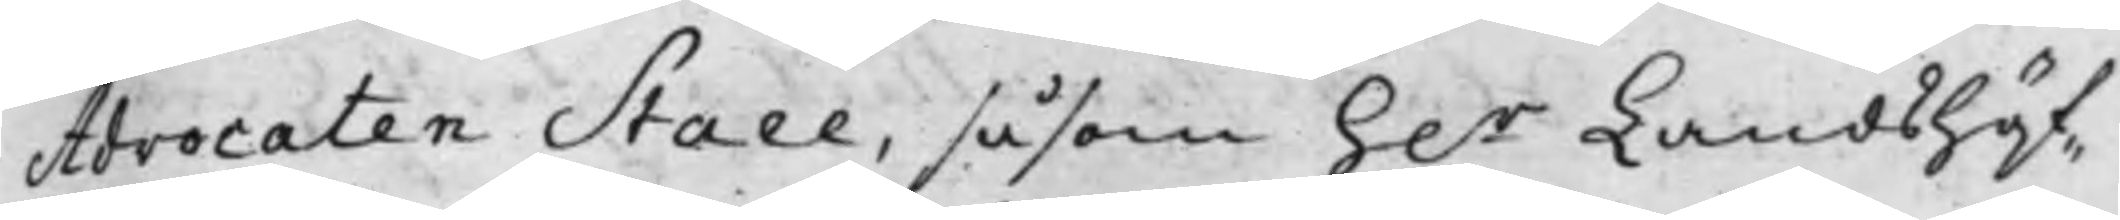Advocaten Staee, såsom h.r Landshöf¬
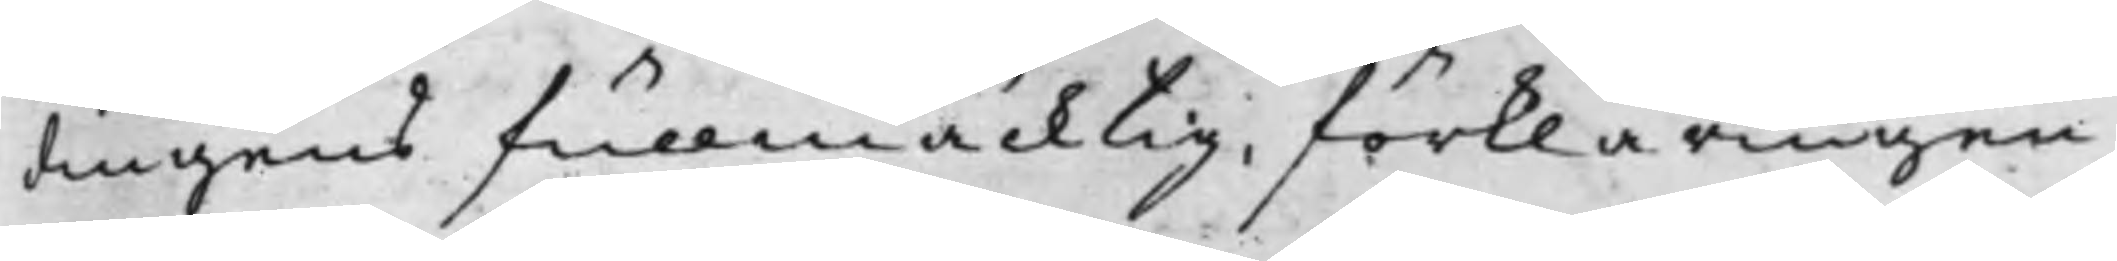dingens fullmäcktig, förklaringen
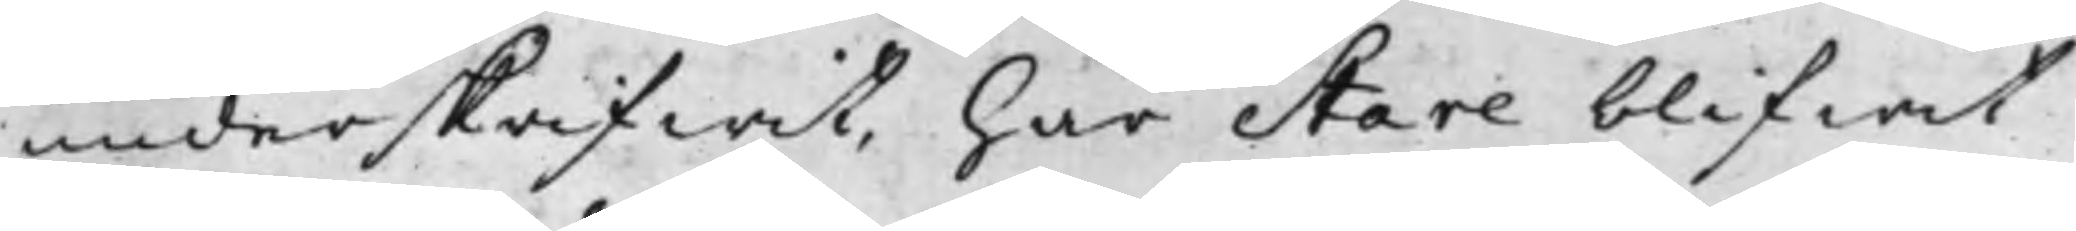underskrifwit, har Stare blifwit
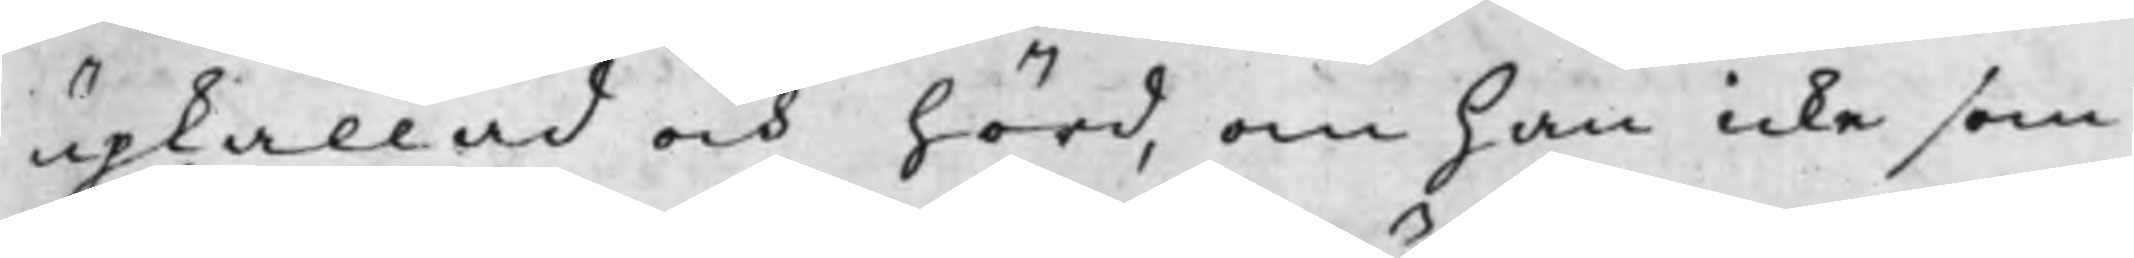upkallad och hörd, om han icke som
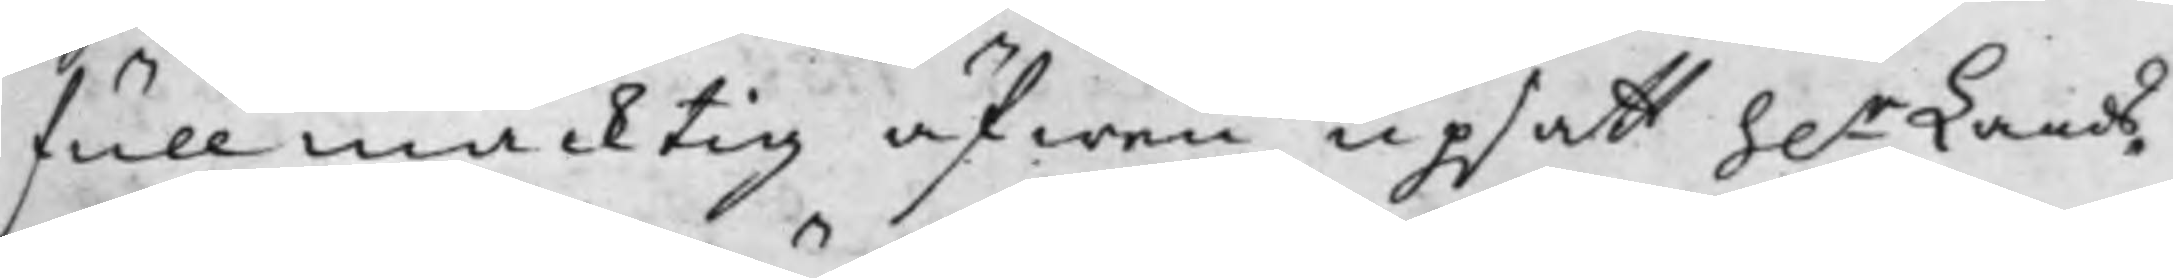fullmäcktig äfwen upsatt h.r Lands¬
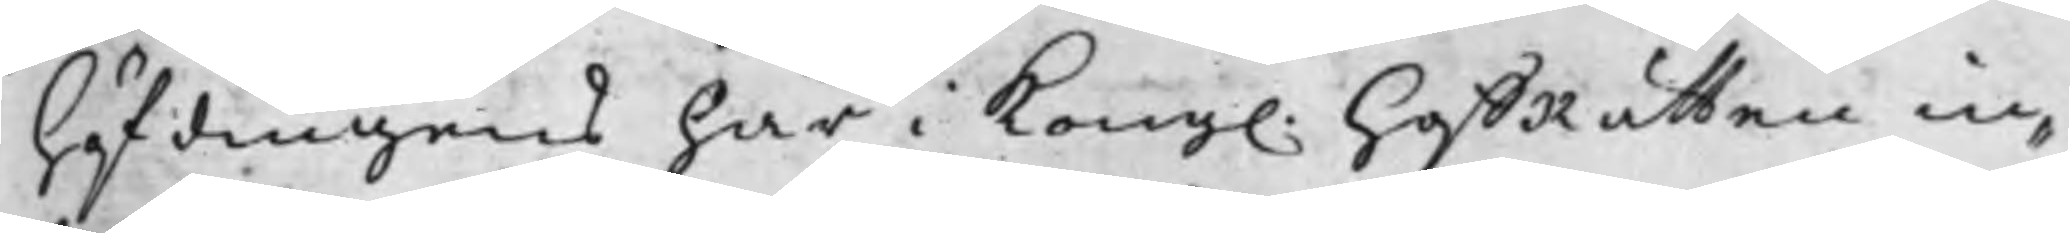höfdingens här i Kong. HoffRätten in¬
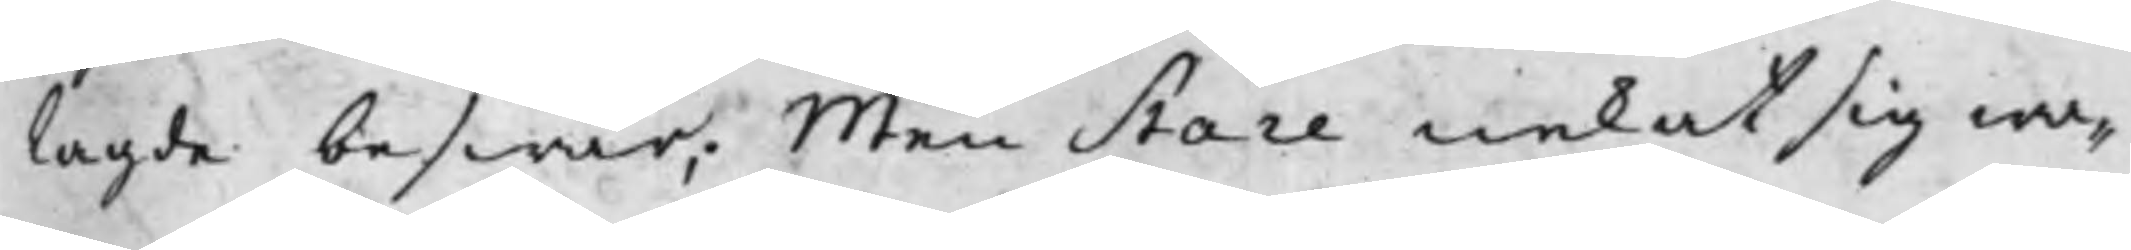lagde beswär; Men Stare nekat sig wa¬
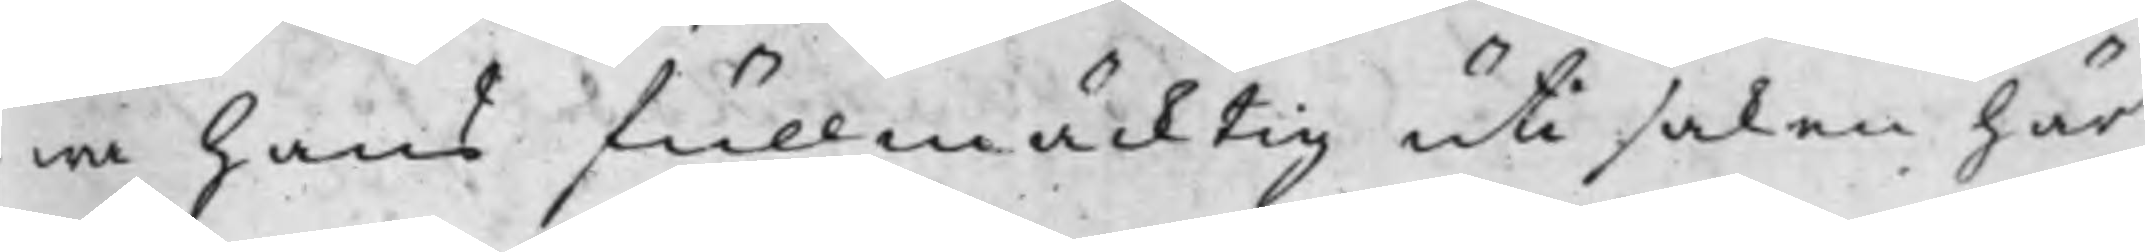ra hans fullmäcktig uti saken här
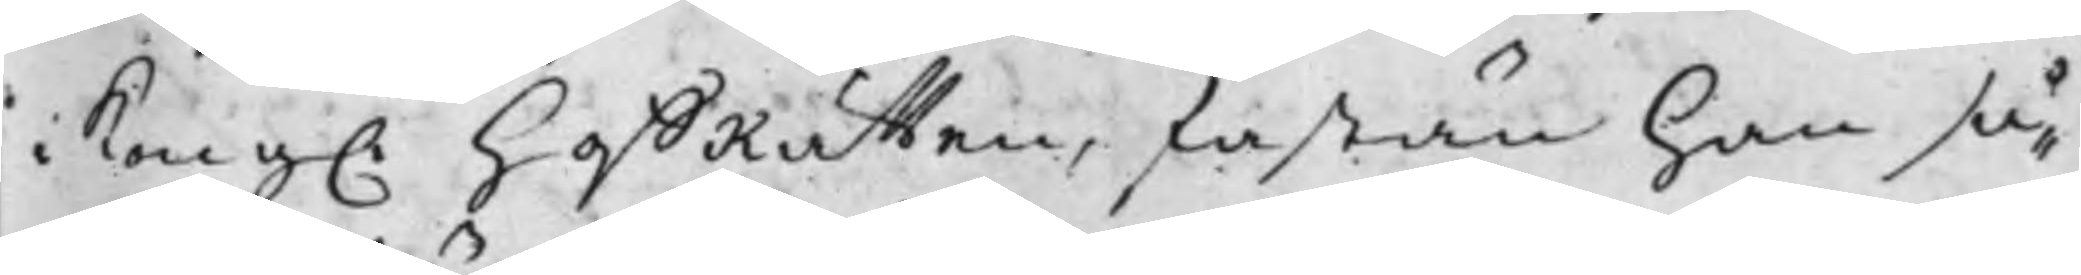i Kong. HoffRätten, fastän han så¬
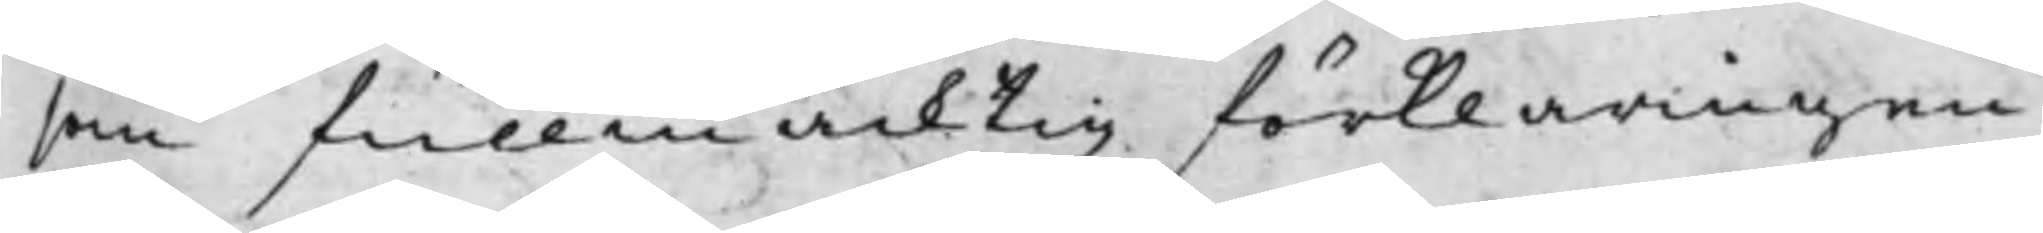som fullmäcktig förklaringen
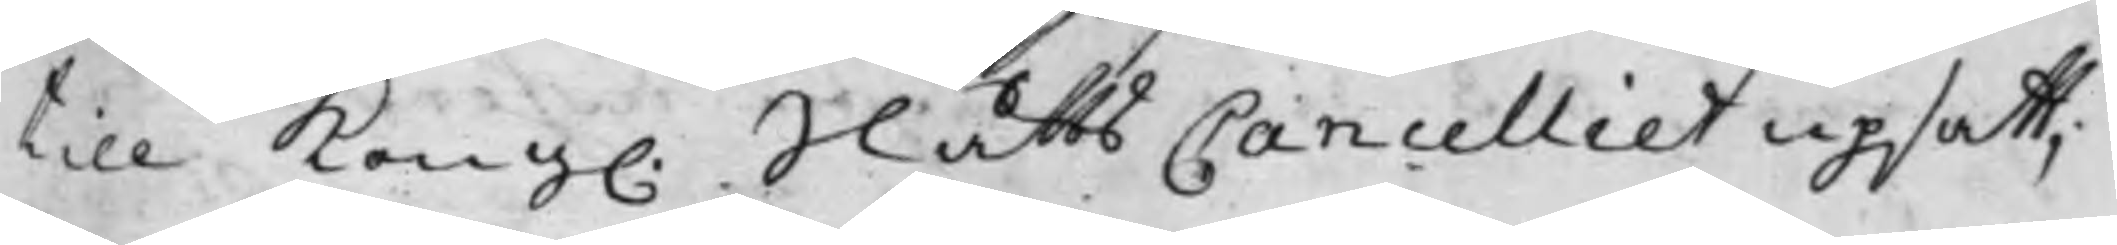till Kong. SlåttsCancelliet upsatt,
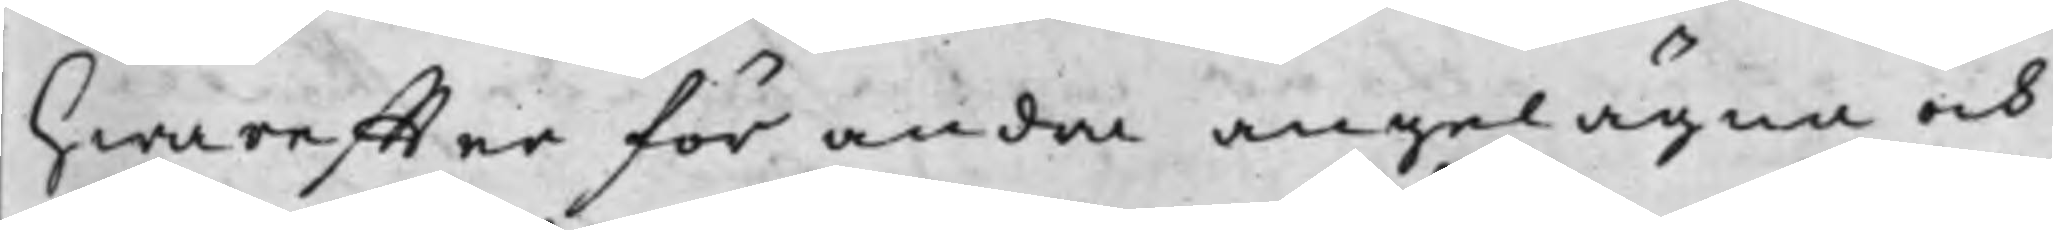hwareffter för andra angelägna och
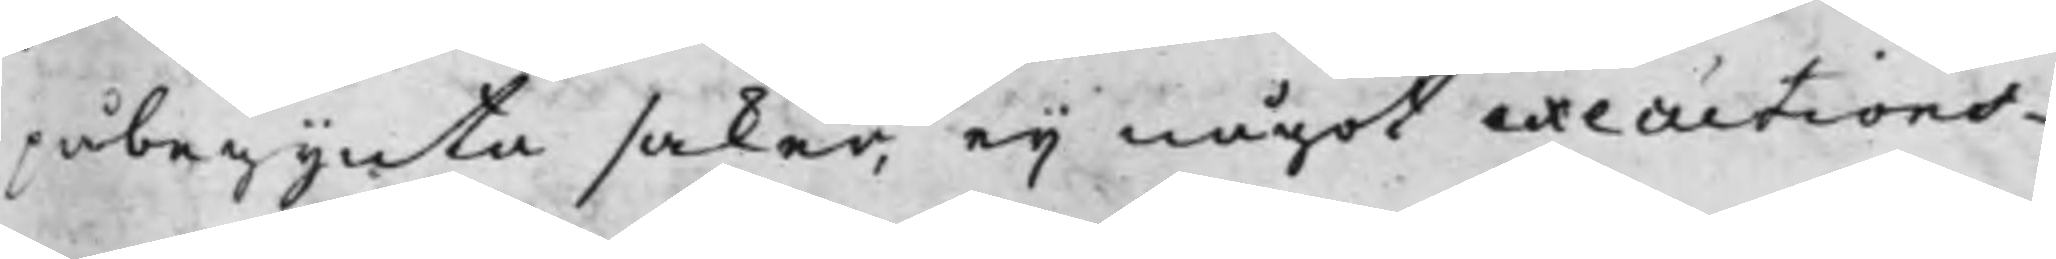påbegynta saker, eij något executions¬<<
